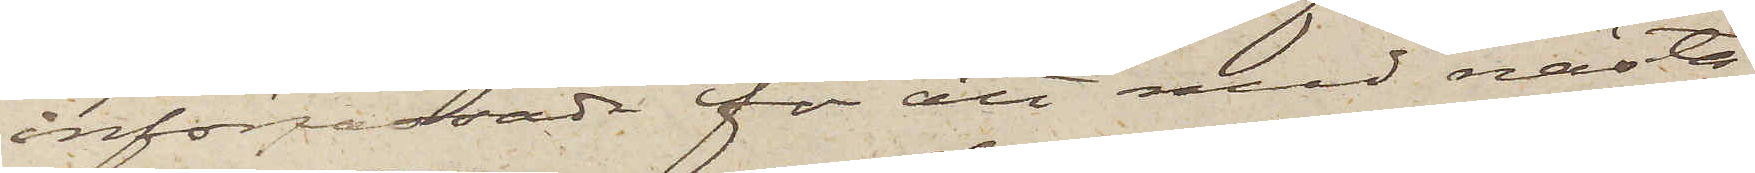införpassade för att med nästa
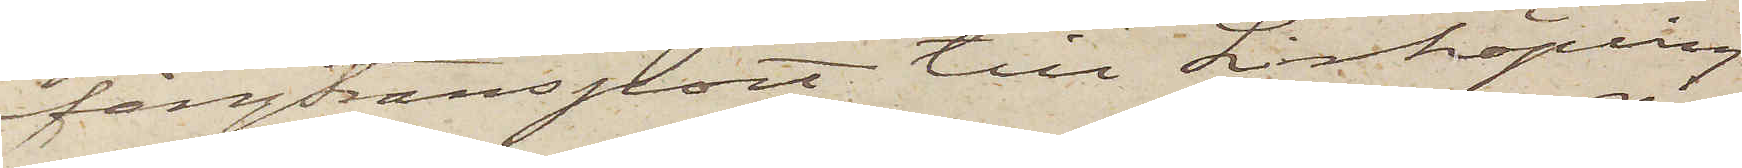fångtransport till Linköping
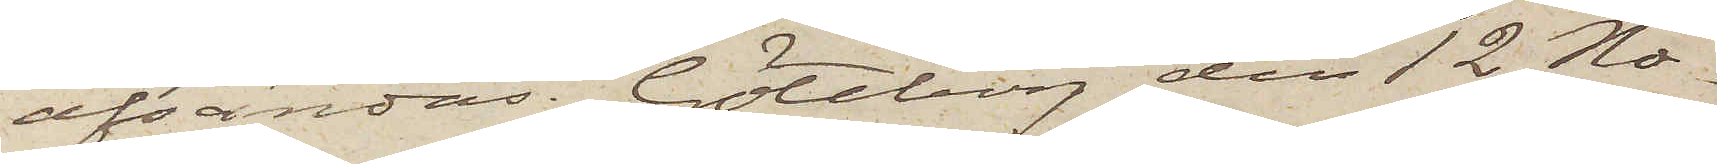afsändas. Göteborg den 12 No¬
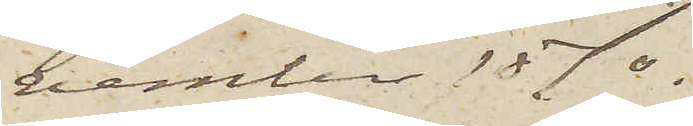vember 1870.
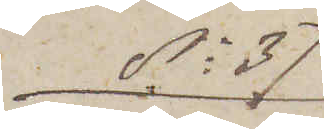No 37
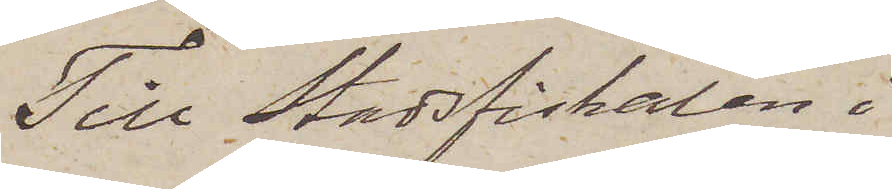Till Stadsfiskalen i
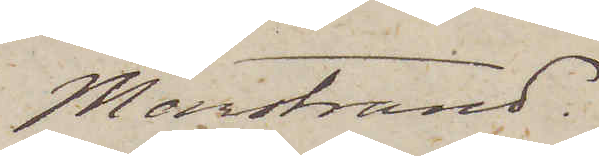Marstrand.
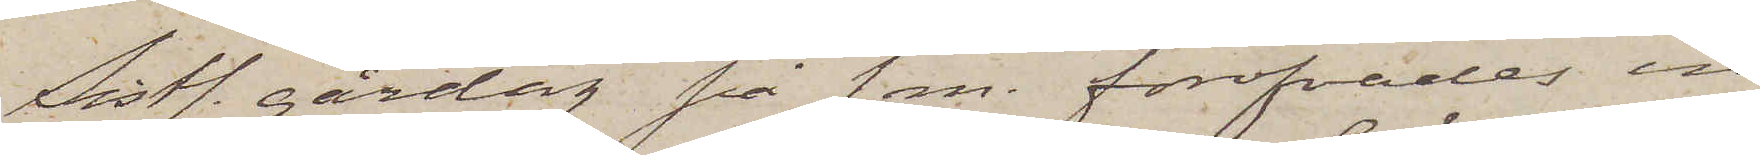Sistl. gårdag på f. m. föröfvades in¬
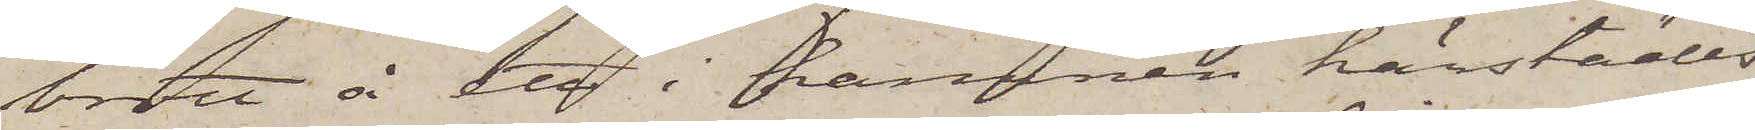brott å ett i hamnen härstädes
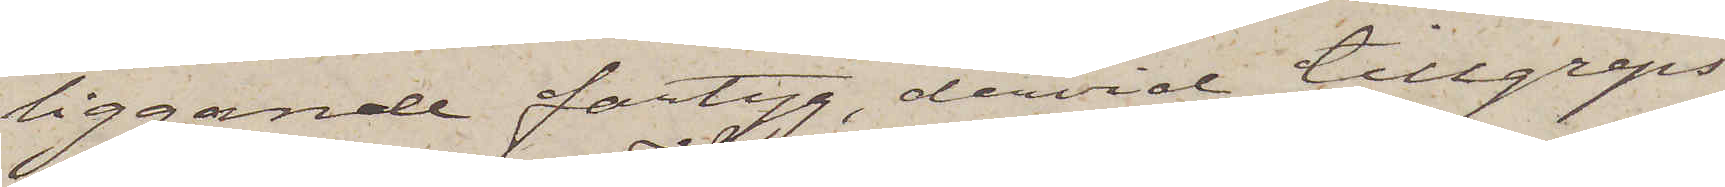liggande fartyg, dervid tillgreps
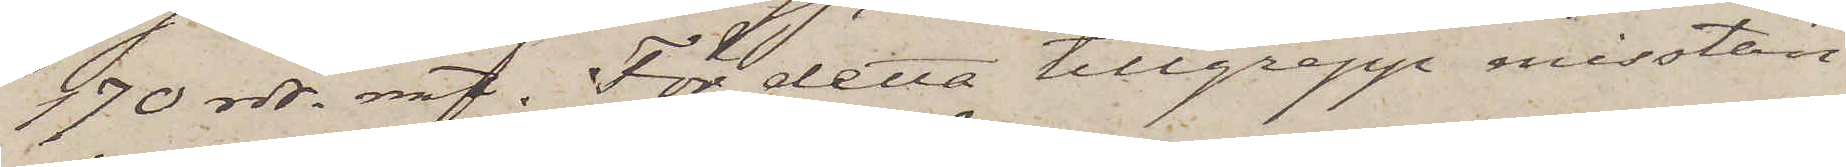170 rdr. rmt. För detta tillgrepp misstän¬
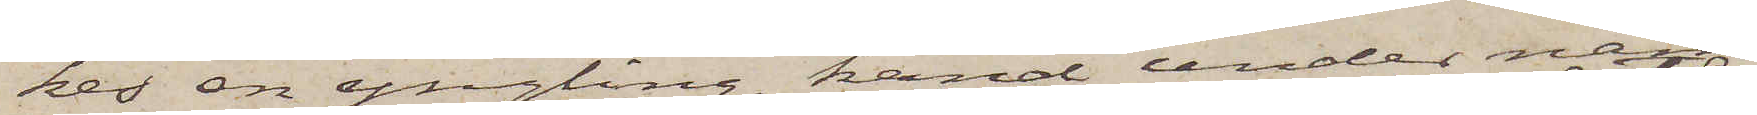kes en yngling, känd under nam¬
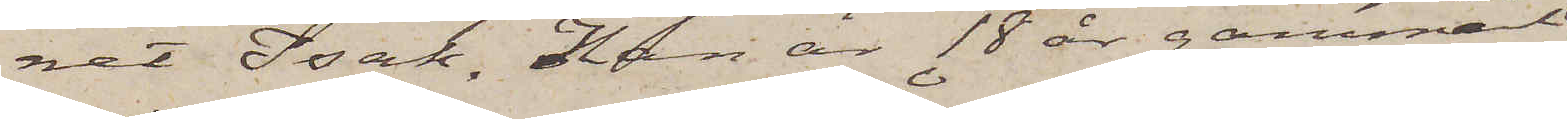net Isak. Han är 18 år gammal
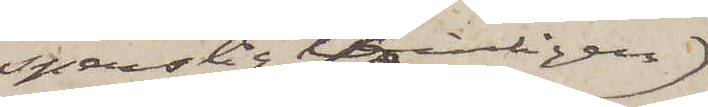spenslig temligen
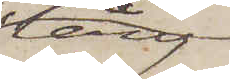lång
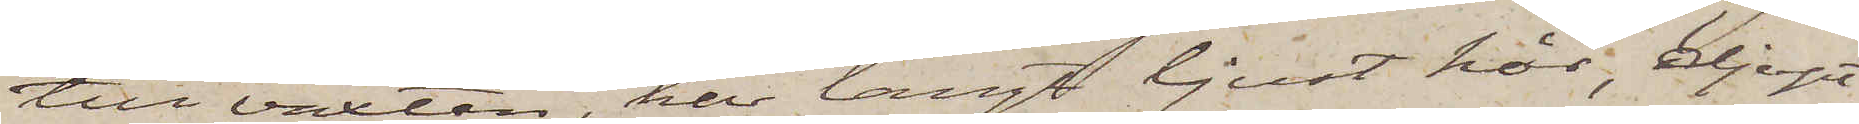till växten, har långt ljust hår, djupt
